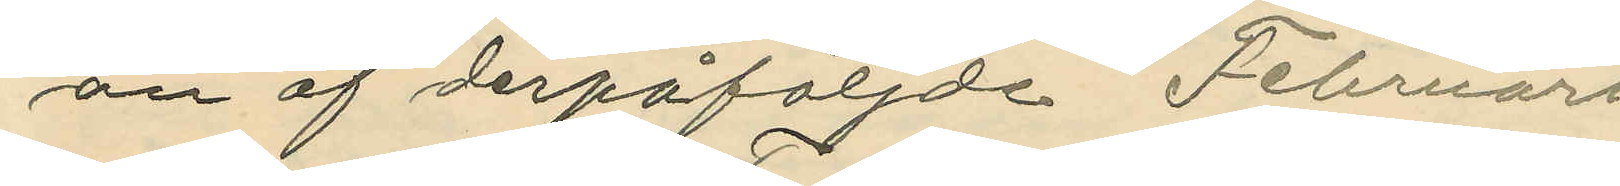an af derpåföljde Februari
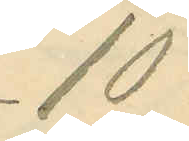10:
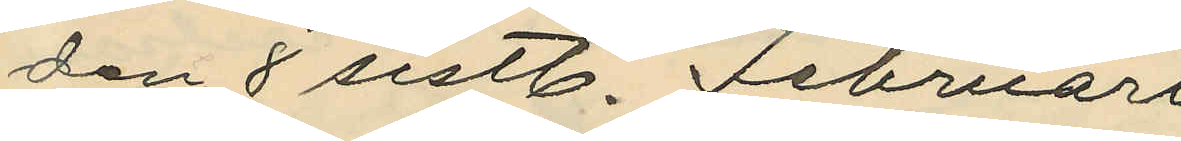den 8 sistl. Februari
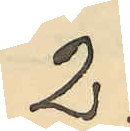2:
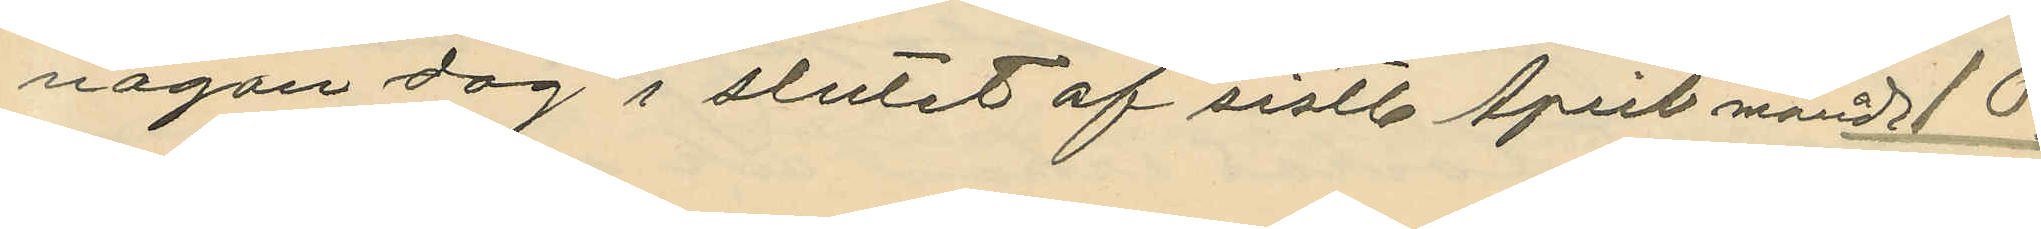någon dag i slutet af sistl. April månad 10:
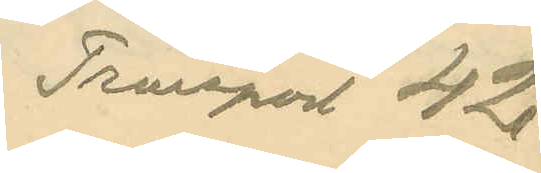Transport 42.
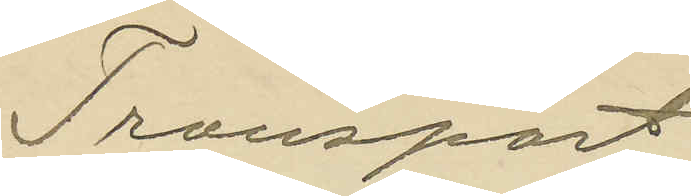Transport
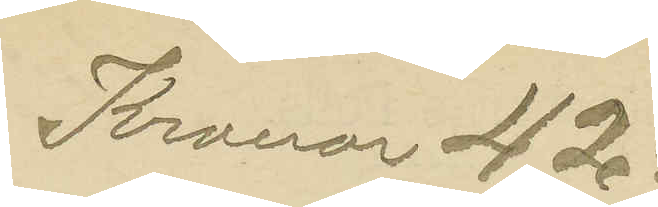Kronor 42:
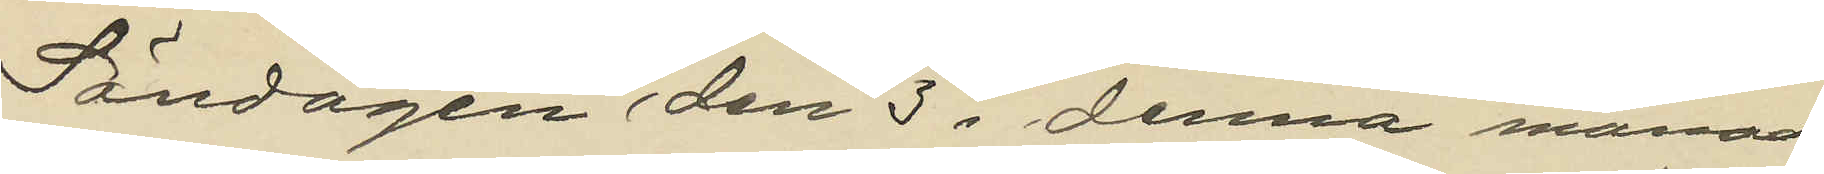Söndagen den 3 i denna månad
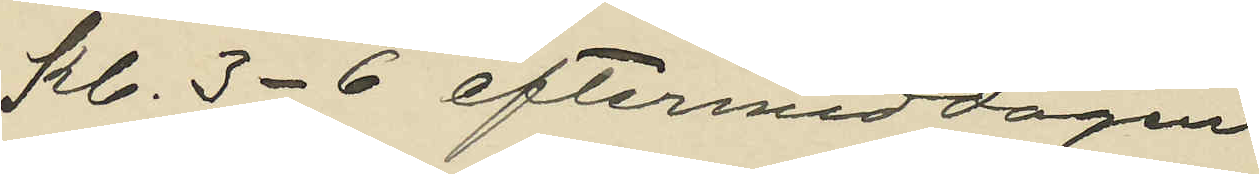kl. 3-6 eftermiddagen
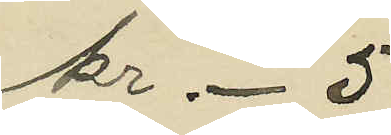kr 5
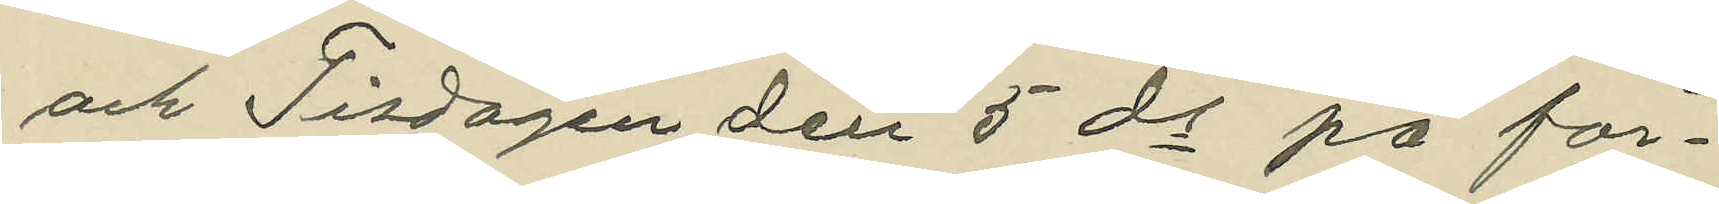och Tisdagen den 5 ds på för¬
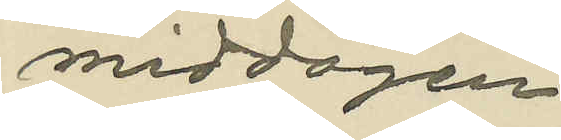middagen
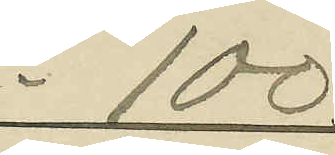100
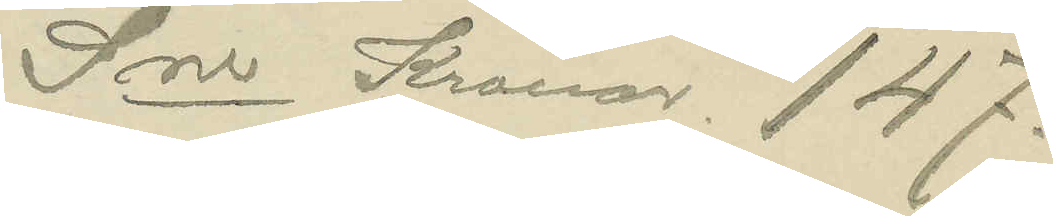Sma Kronor 147.
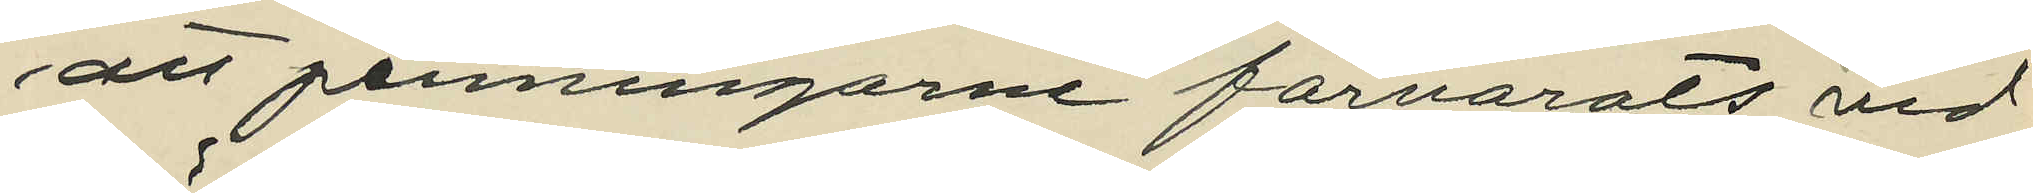att penningarne förvarats vid
